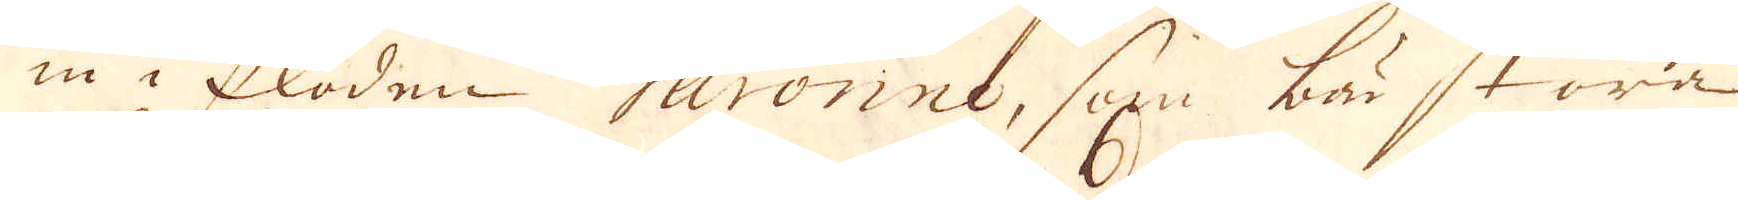in i floden Gavonne, som bär stora
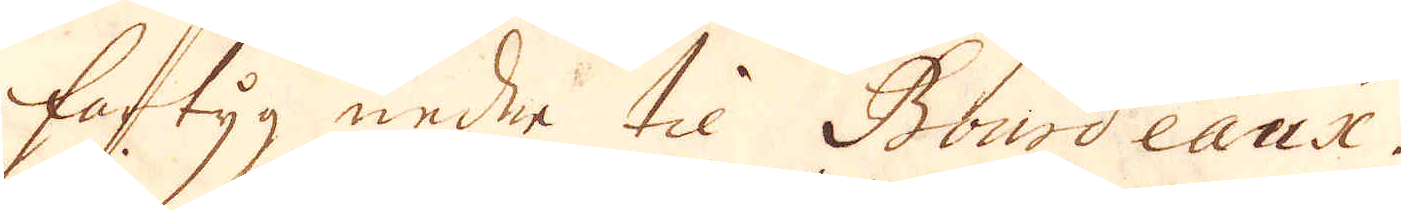fartyg neder til Bourdeaux.
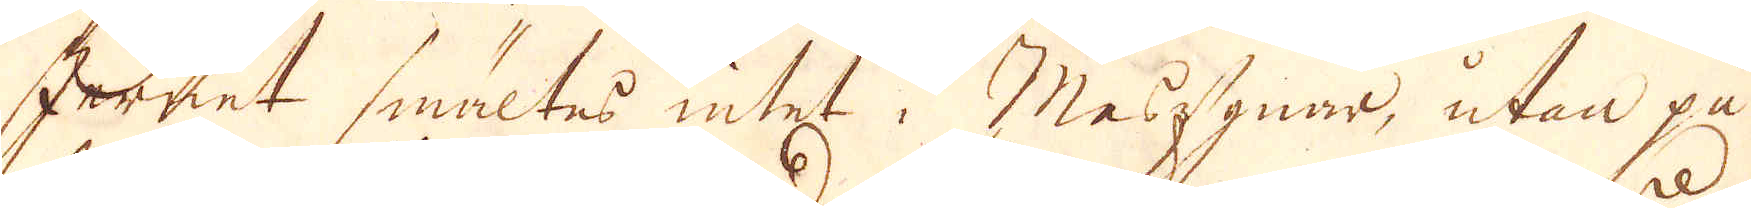Jernet smältes intet i Masugnar, utan på
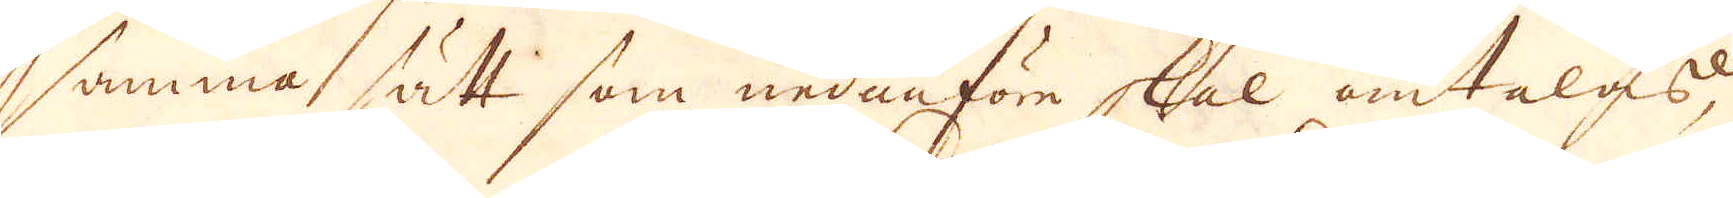samma sätt som nedanföre skal omtalas
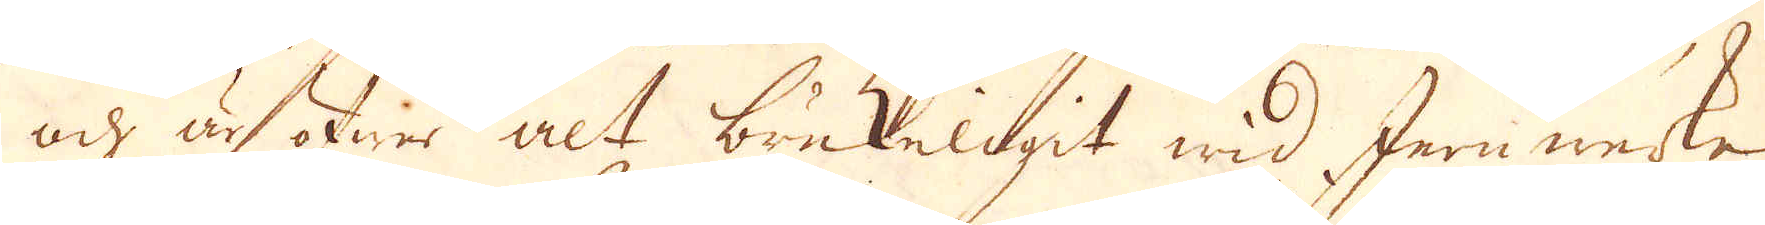och är öfwer alt brukeligit wid Jernwerken
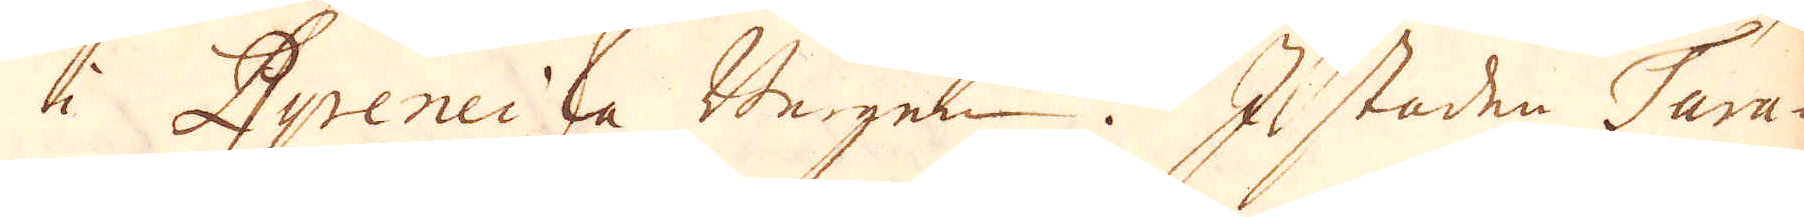i Pyreneiska Bergen. I staden Tara-
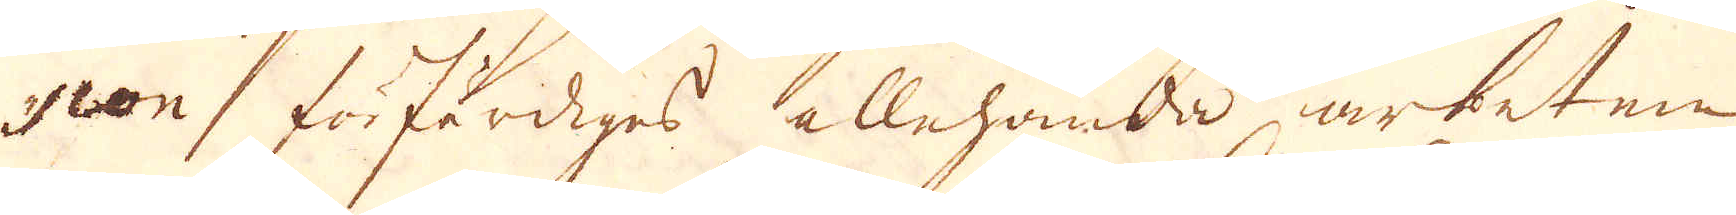scon förfärdiges allehanda arbeten
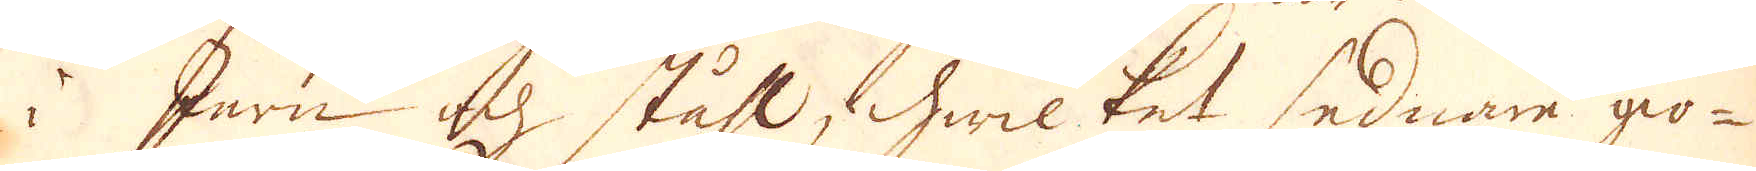i Jern och ståhl, hwilket sednare giö-
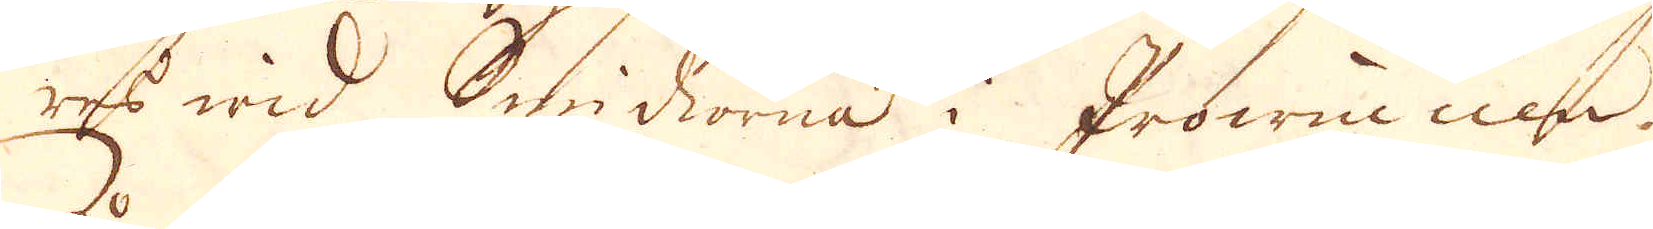res wid Smidiorna i Prowincien.
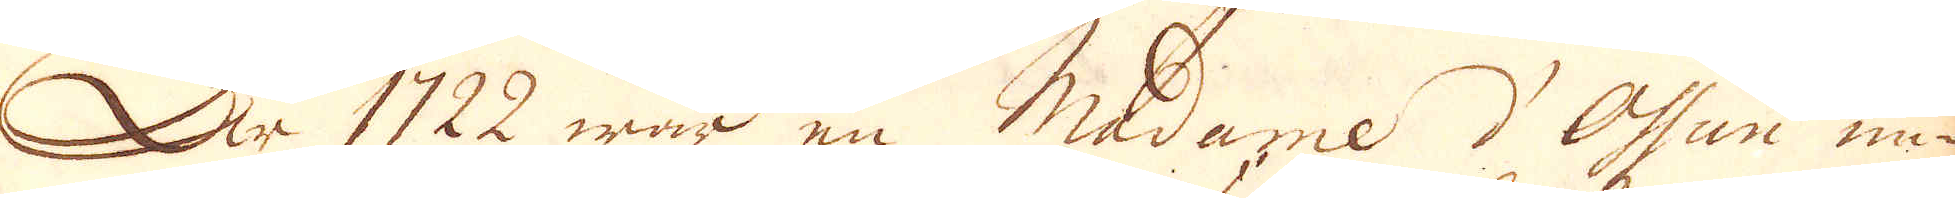År 1722 war en Madame d'Ossun un-
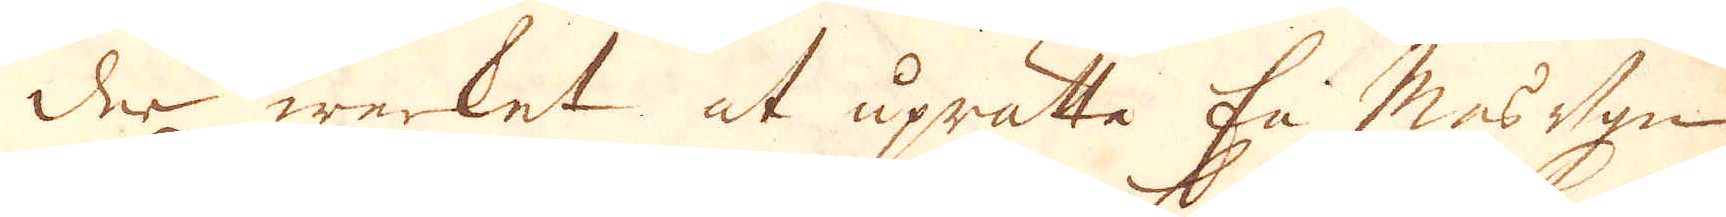der werket at uprätta En Masugn
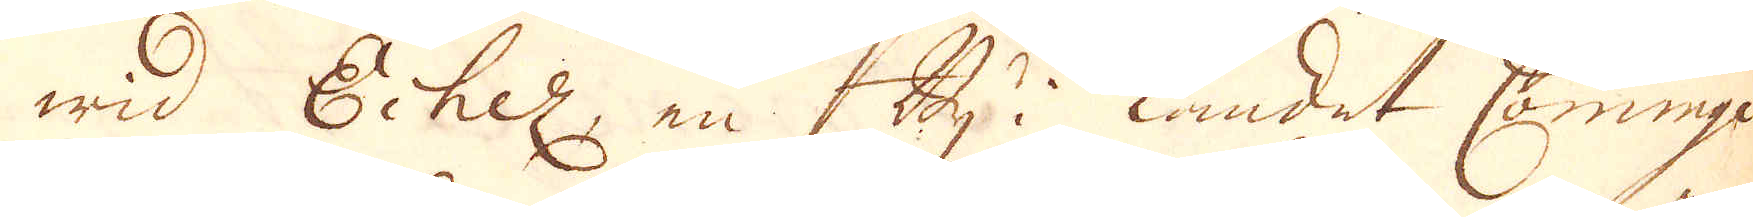wid Echez, en By i landet Cominge
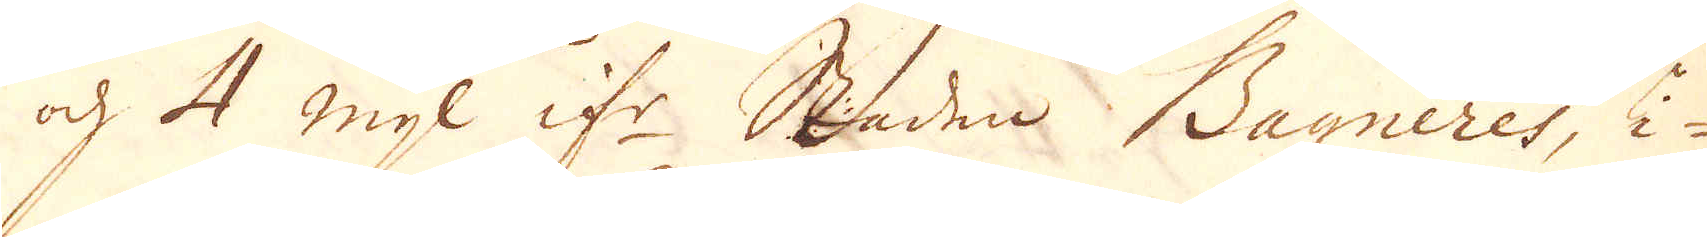och 4 mijl ifår Staden Bagneres, i-
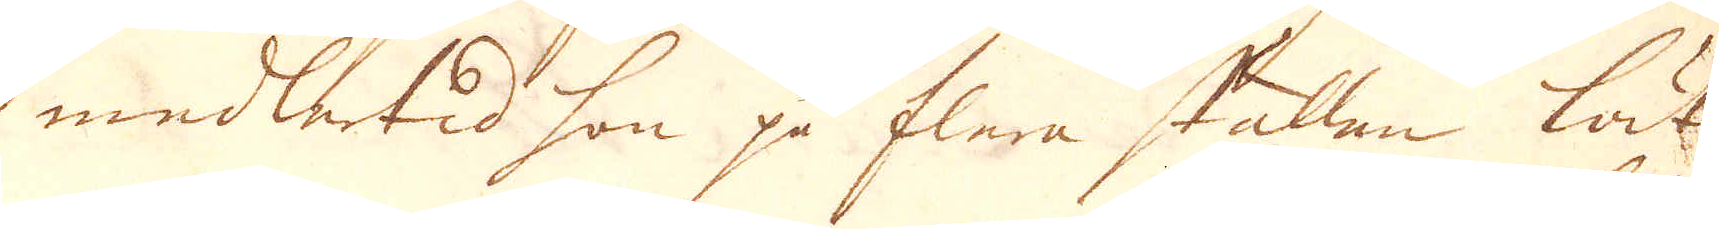medlertid hon på flera ställen lät
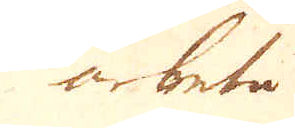arbeta
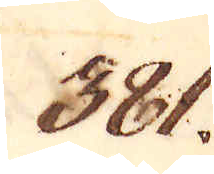381.
